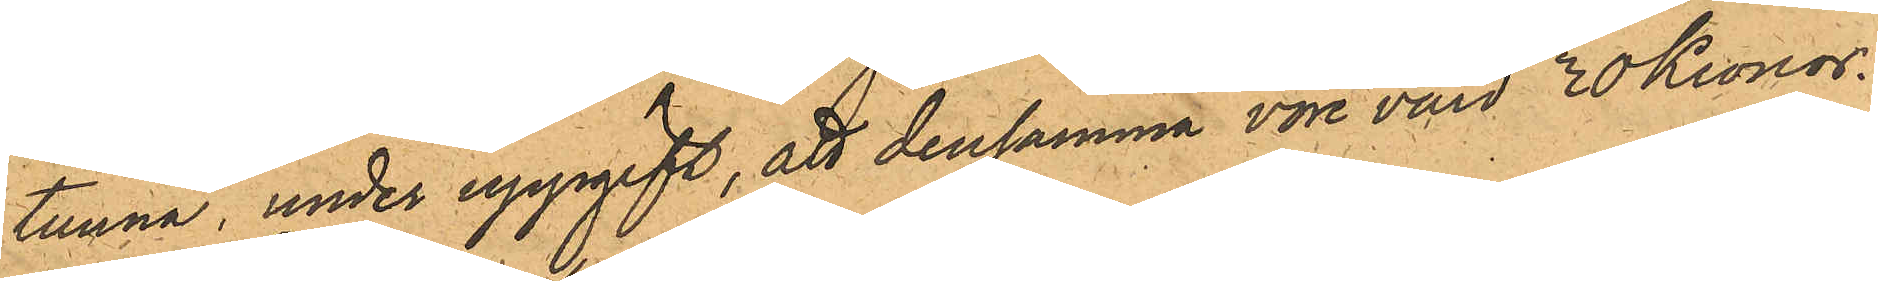tunna, under uppgift, att densamma vore värd 30 Kronor.
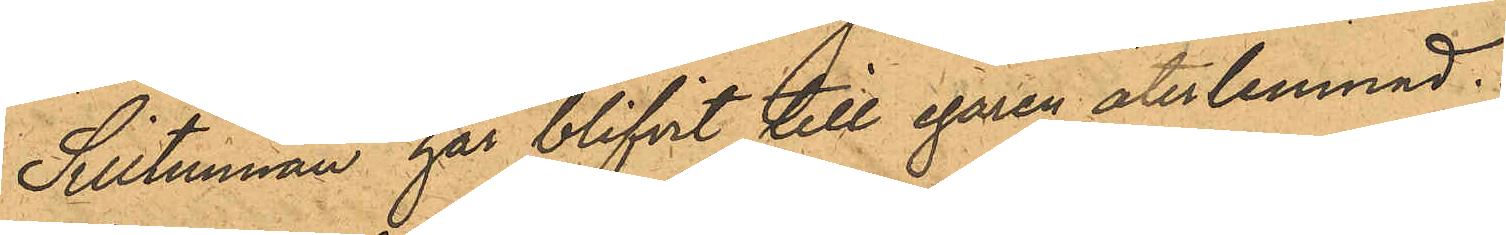Silltunnan har blifvit till egaren återlemnad.
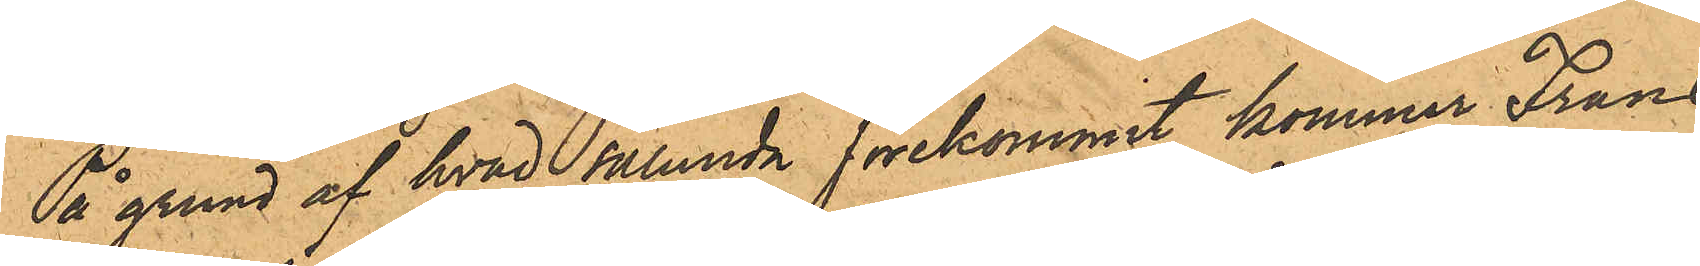På grund af hvad sålunda förekommit, kommer Frans
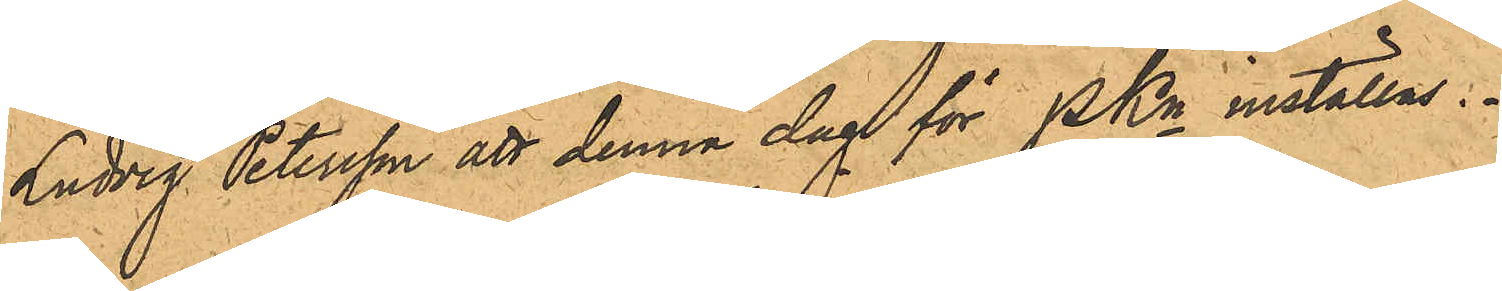Ludvig Petersson att denna dag för PKn inställas.
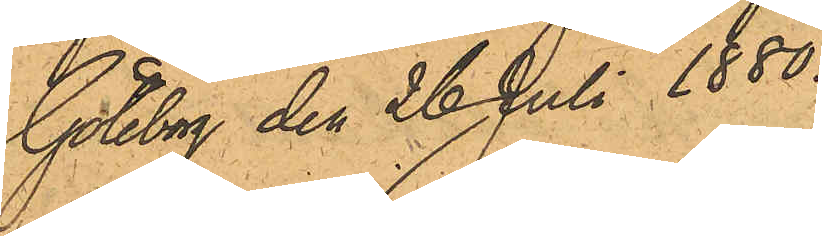Götebog den 26 Juli 1880.
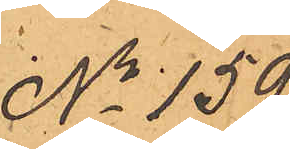No 159.
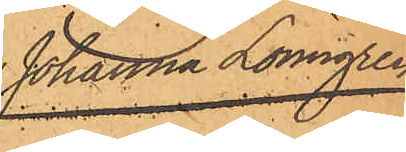Johanna Lönngren
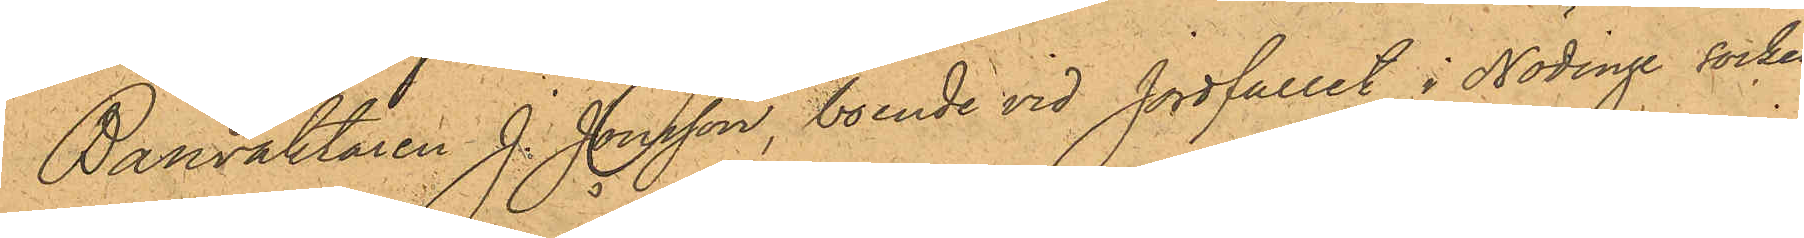Banvaktaren J. Jonsson, boende vid Jordfallet i Nödinge socken
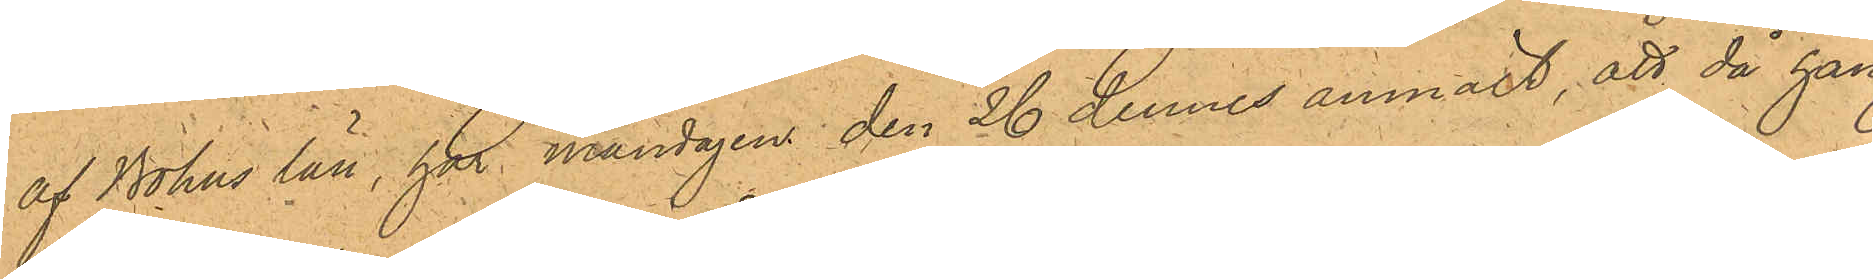af Bohus län, har måndagen den 26 dennes anmält, att då han
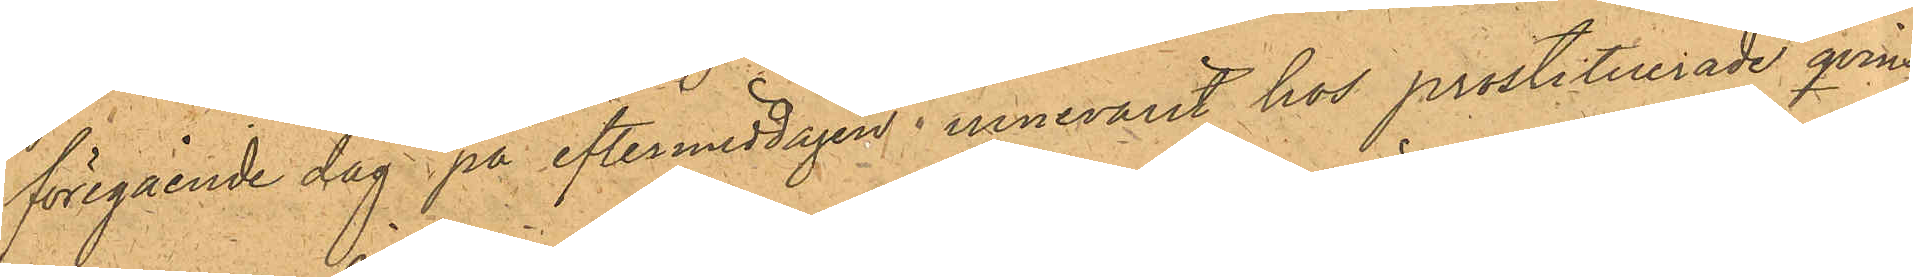föregående dag på eftermiddagen innevarit hos prostituerade qvins¬
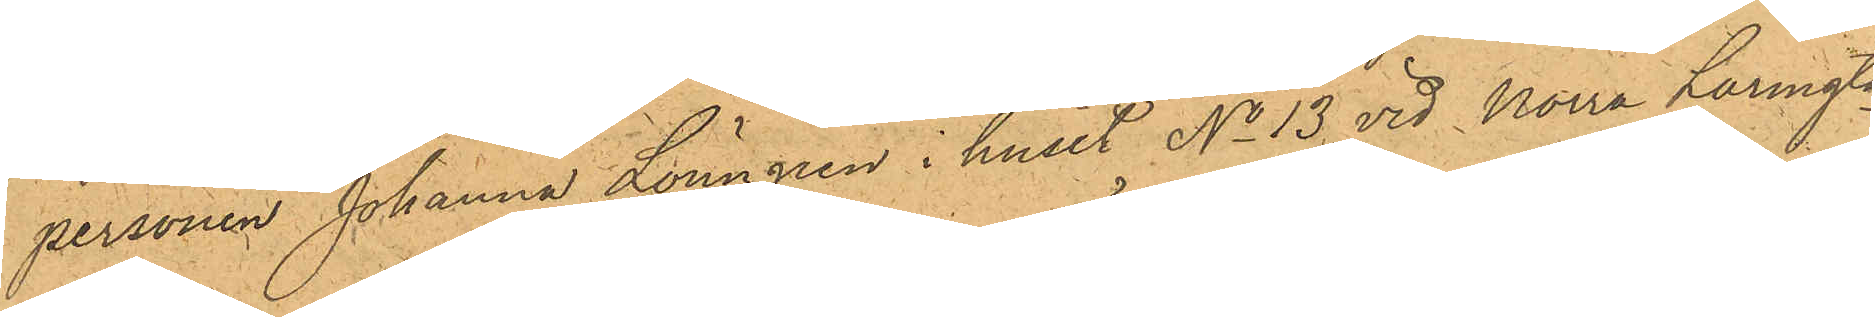personen Johanna Lönngren i huset No 13 vid Norra Larmgtn
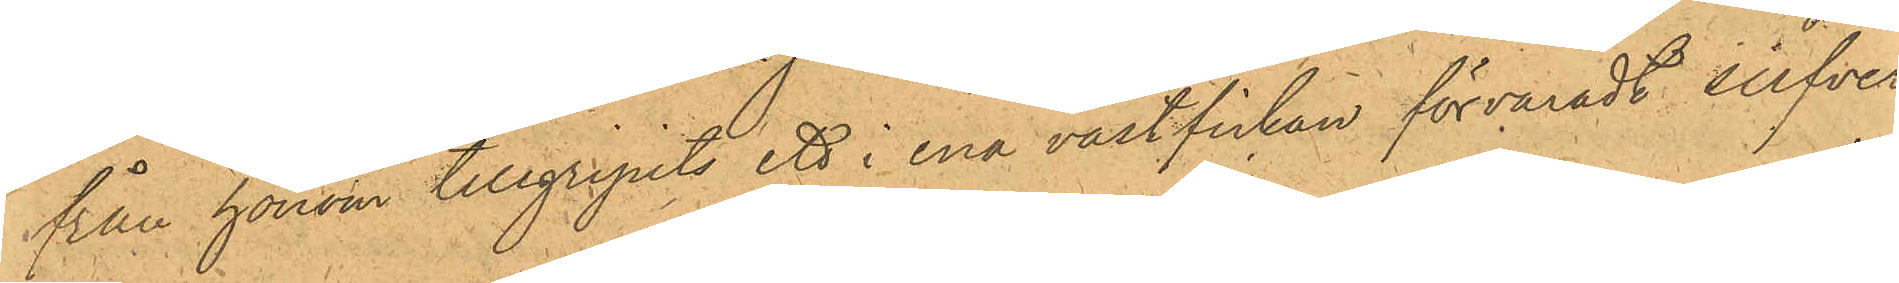från honom tillgripits ett i ena västfickan förvaradt silfver¬
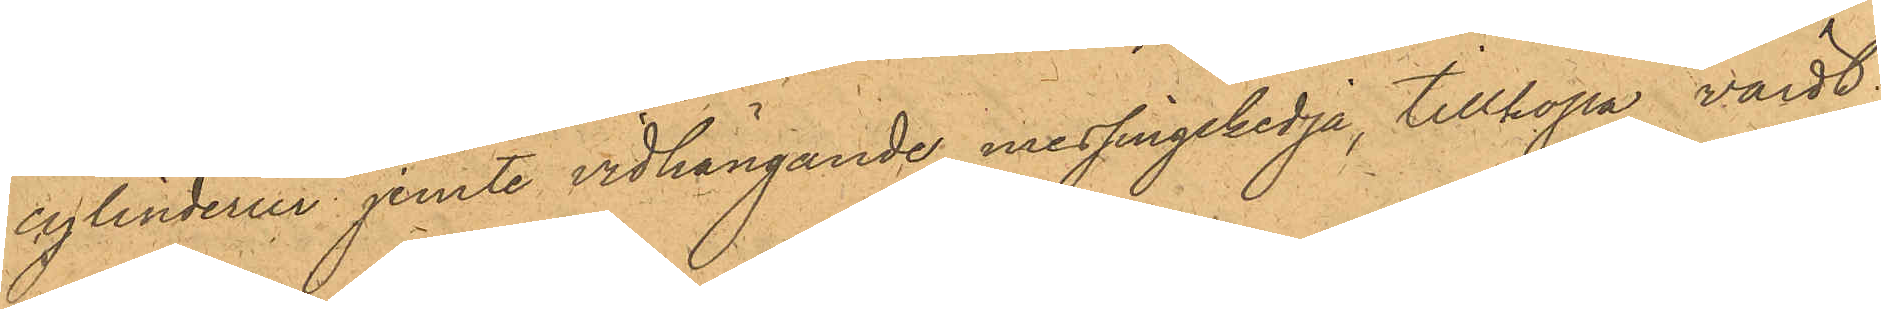cylinderuur jemte vidhängande messingskedja, tillhopa värdt
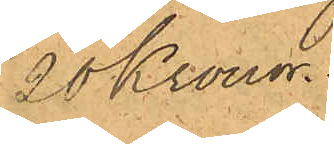20 Kronor.
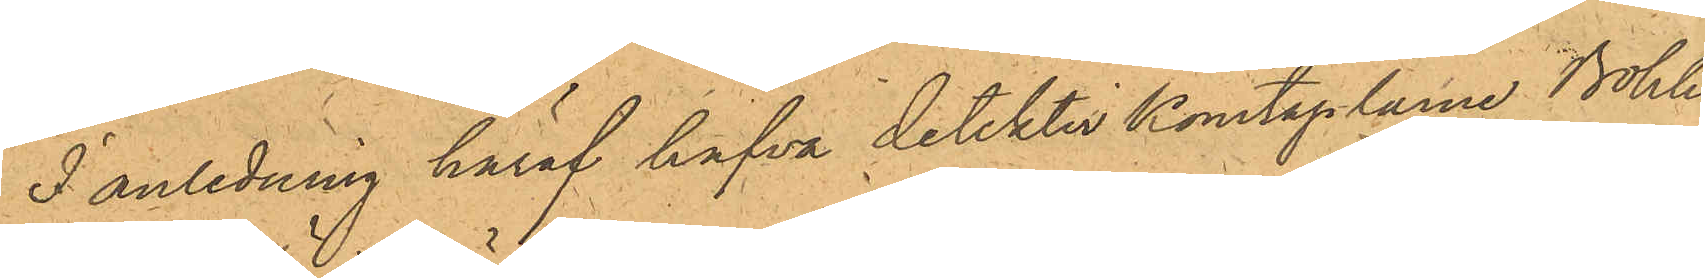I anledning häraf hafva detektivKonstaplarne Bohlin
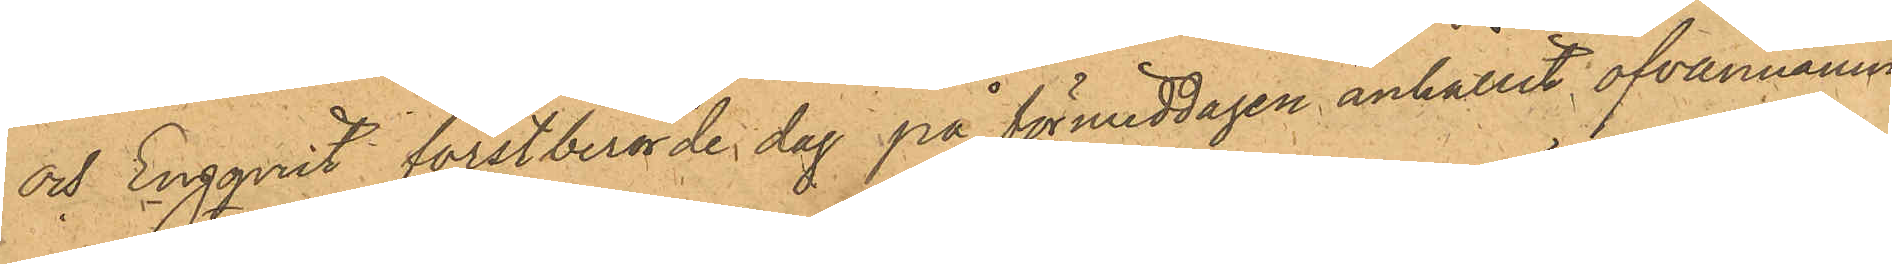och Engqvist förstberörde dag på förmiddagen anhållit ofvannämn¬
